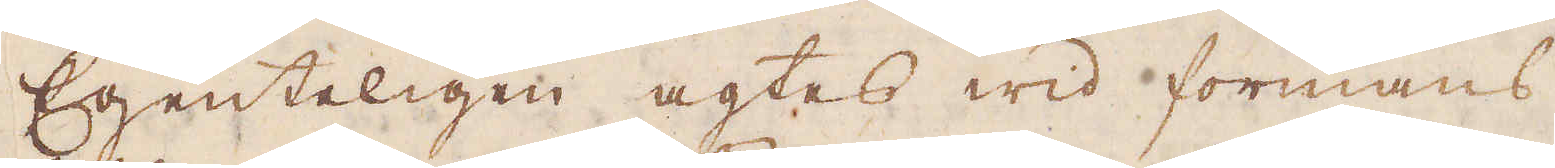Egenteligen agtes wid formans
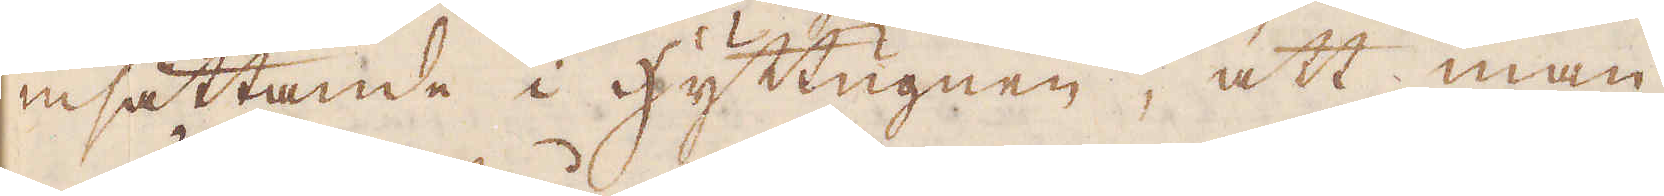insättande i hyttugnen, att man
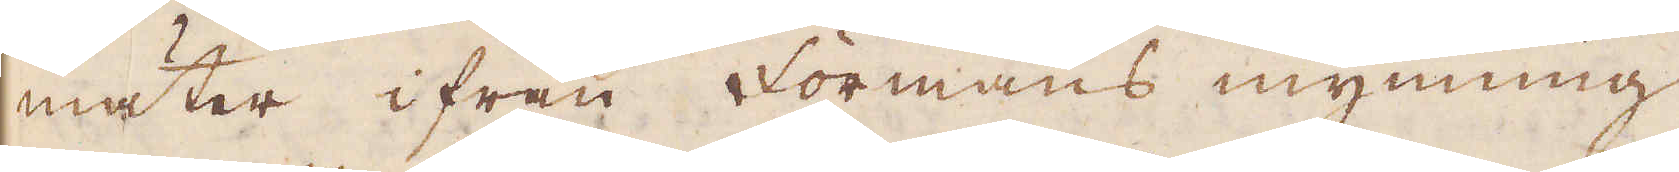mäter ifrån Formans mynning
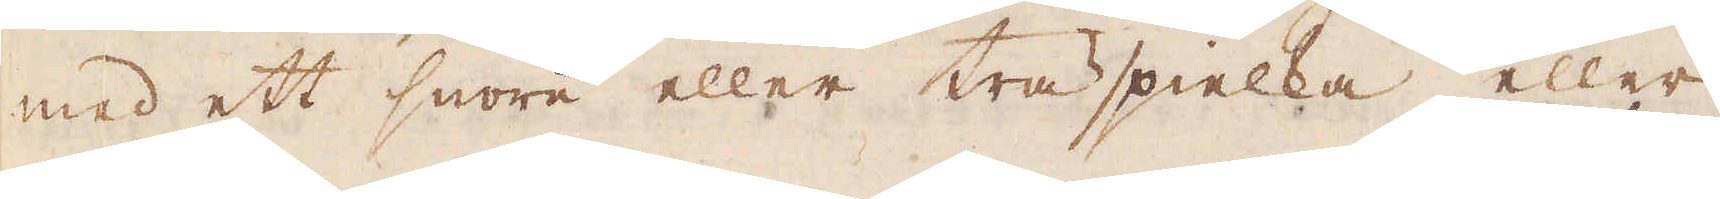med ett snöre eller träspielka eller
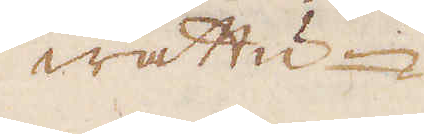wattu-
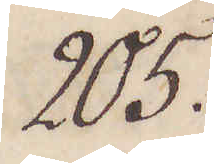205.
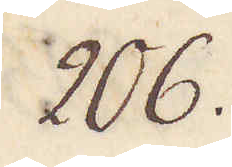206.
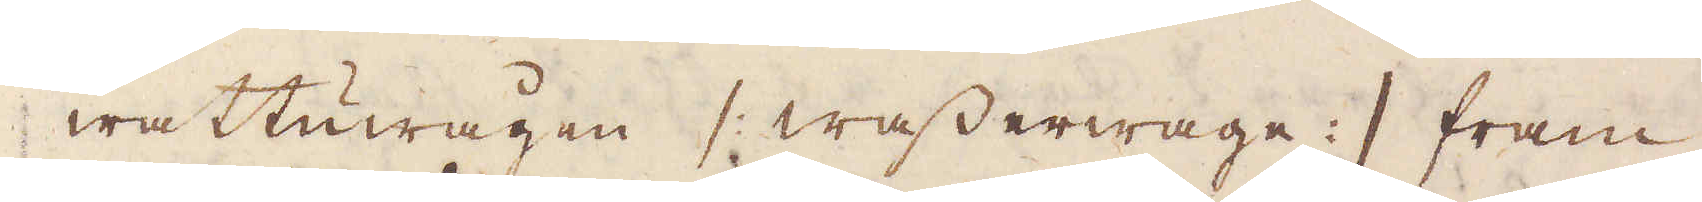wattuwägen / wasserwage :/ fram
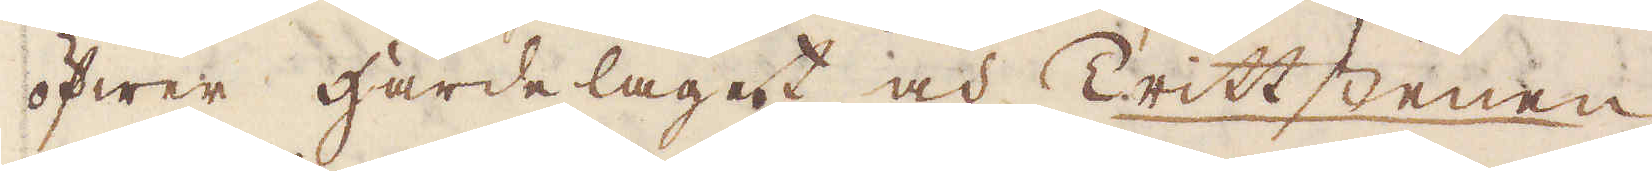öfwer härdelaget och Trittstenen
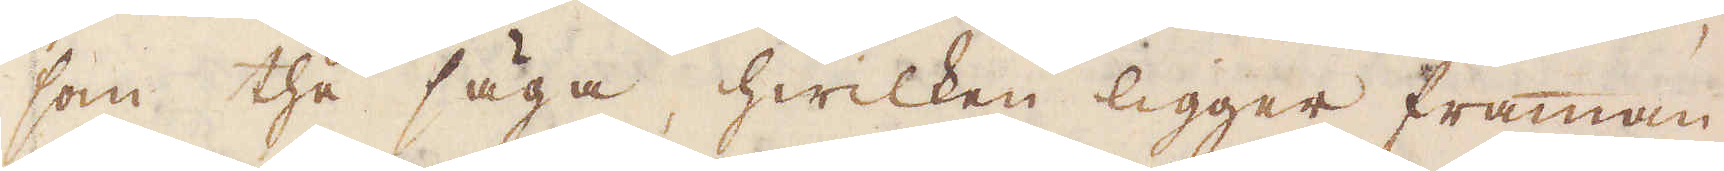som the säga, hwilken ligger framman-
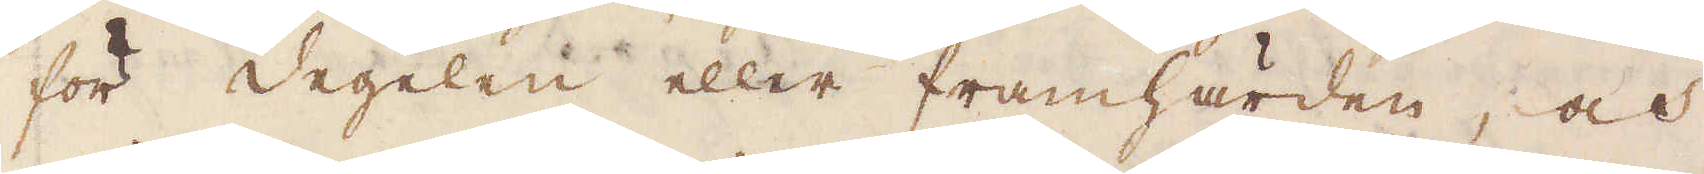för degelen eller framhärden, och
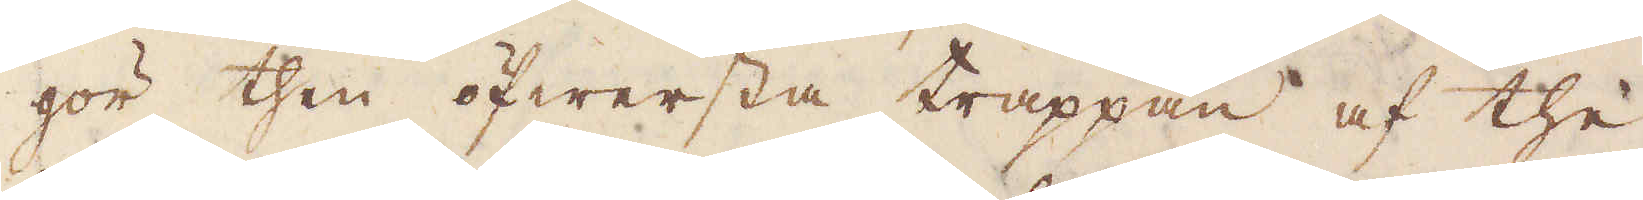gör then öfwersta trappan af the
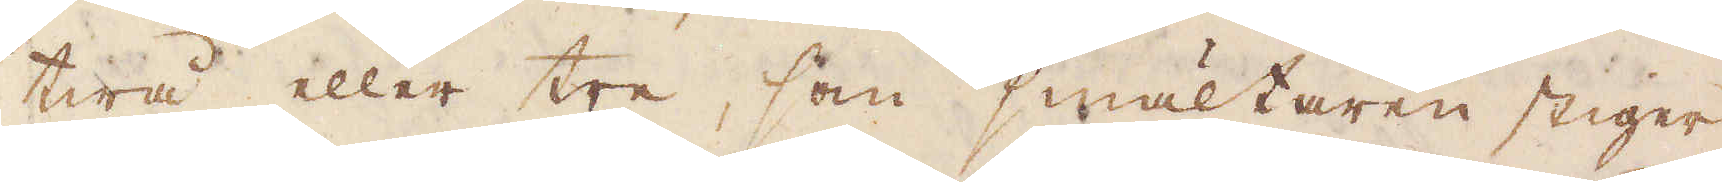twå eller tre, som smältaren stiger
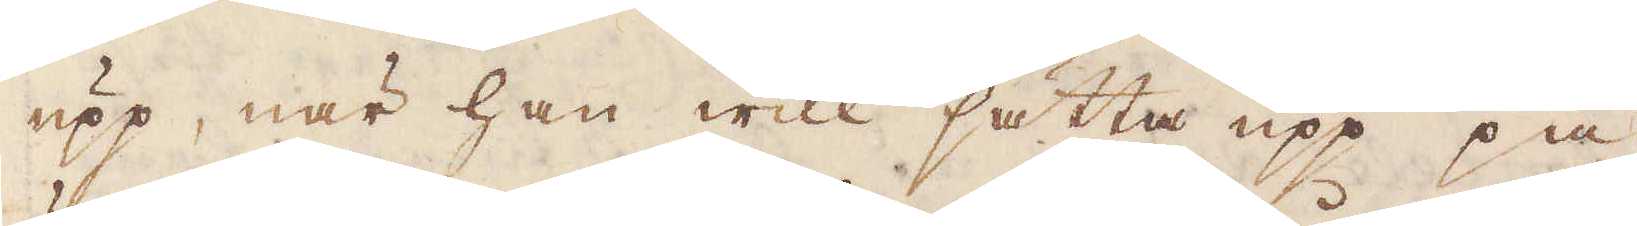upp, när han will sätta upp på
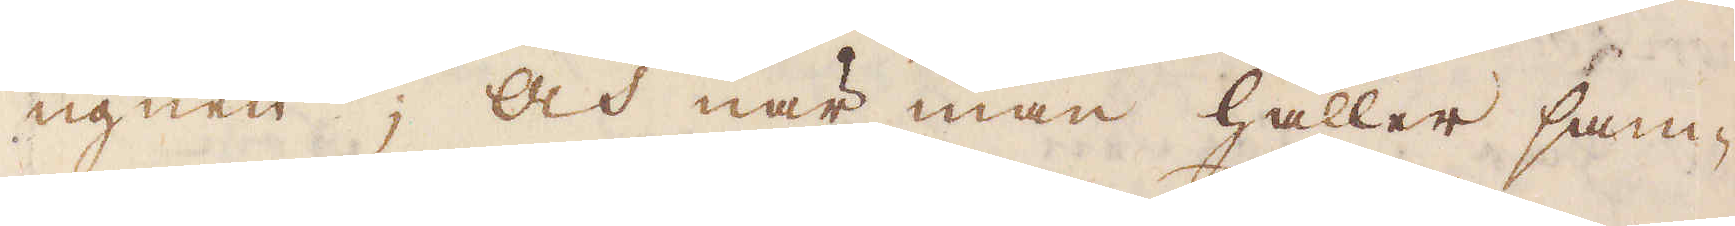ugnen och när man håller sam-
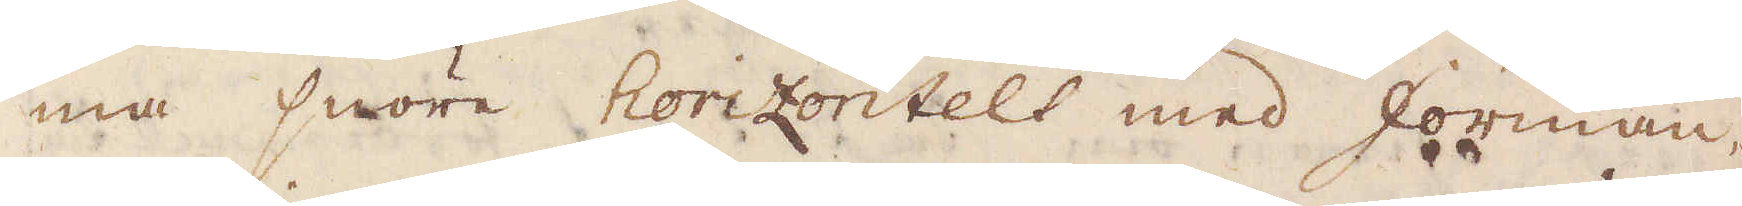ma snöre horizontelt med forman,
